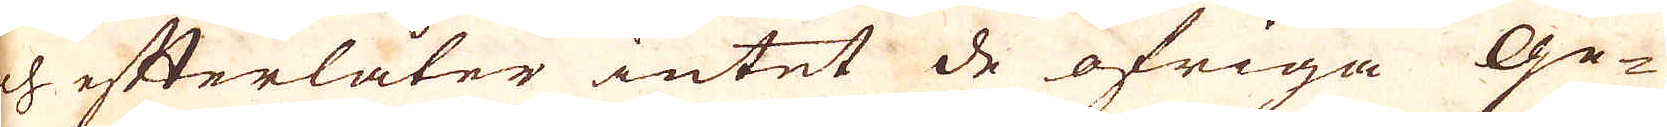och efterlåter intet de öfriga Ge-
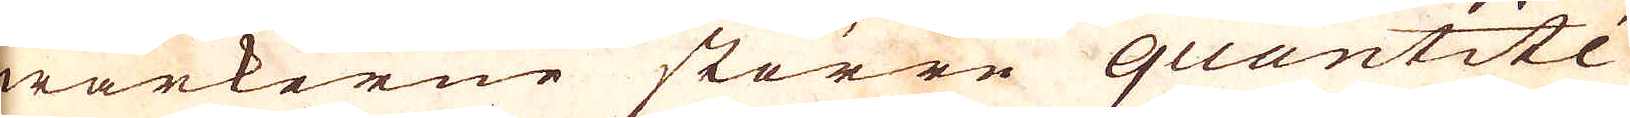wärkerne större quuantitée
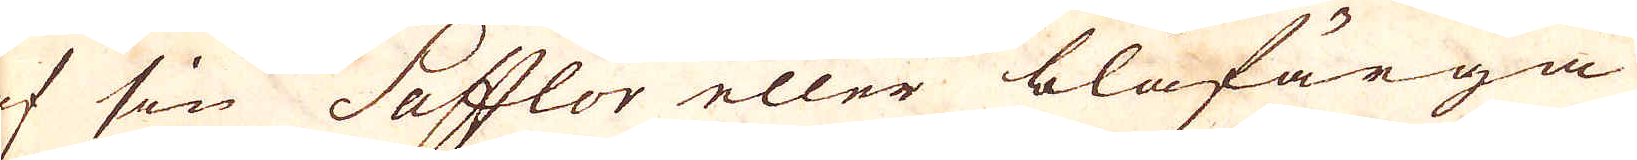af sin Safflor eller blåfärga
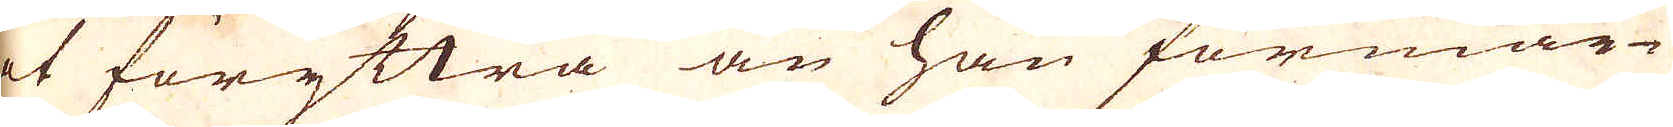at föryttra än han förmär-
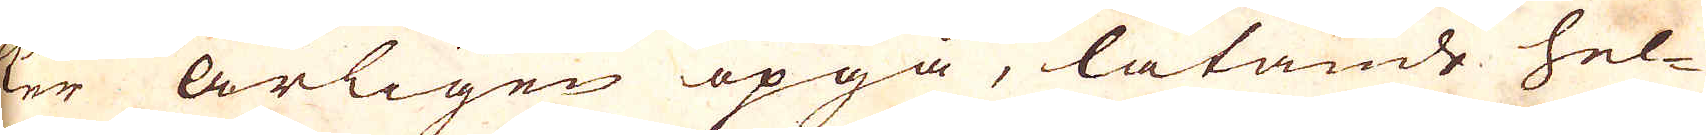ker årligen opgå, låtande hel-
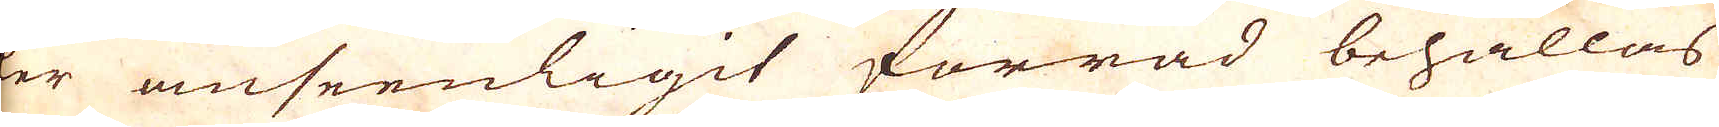ler anseenligit förråd behållas
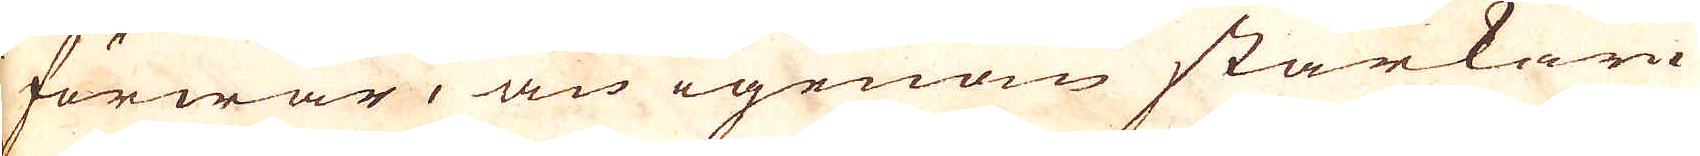i förwar, än igenom starkare
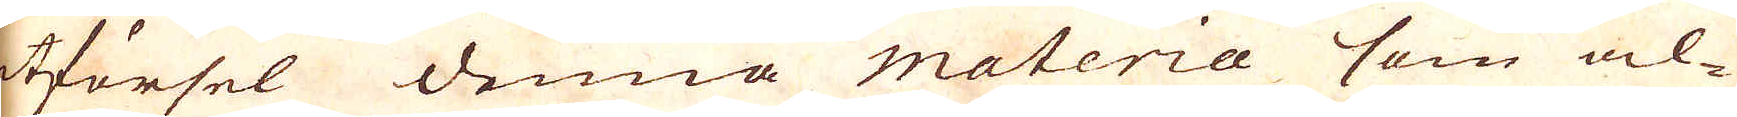utförsel denna Materia som al-
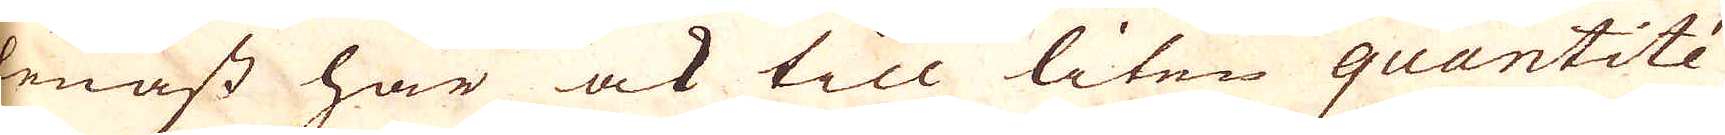lenast har ock till liten quantitée
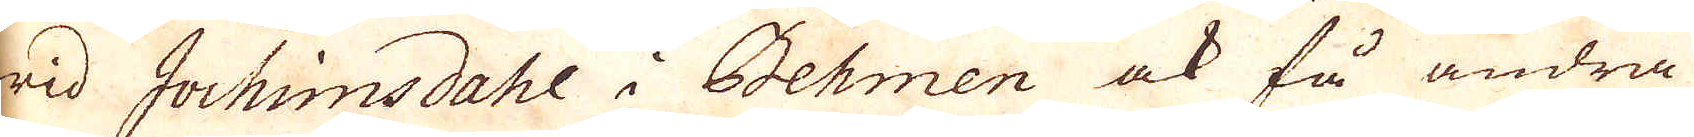wid Jochimsdahl i Behmen ock få andra
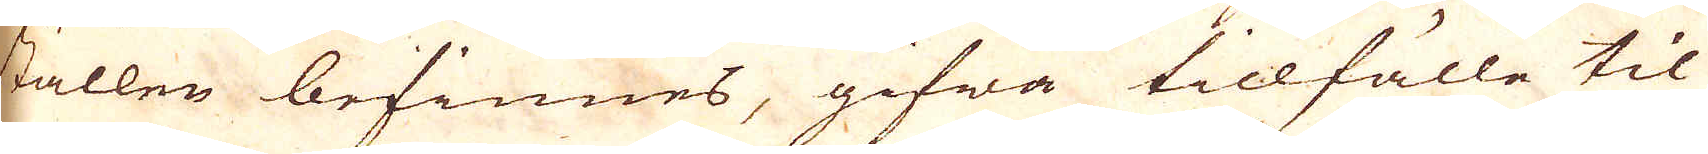ställen befinnes, gifwa tillfälle til
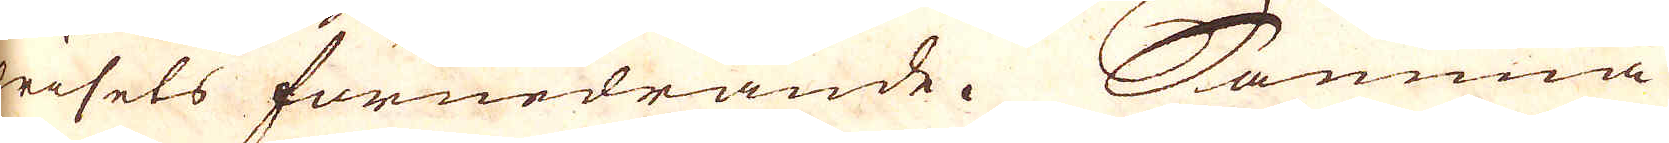prisets förnedrande. Samma
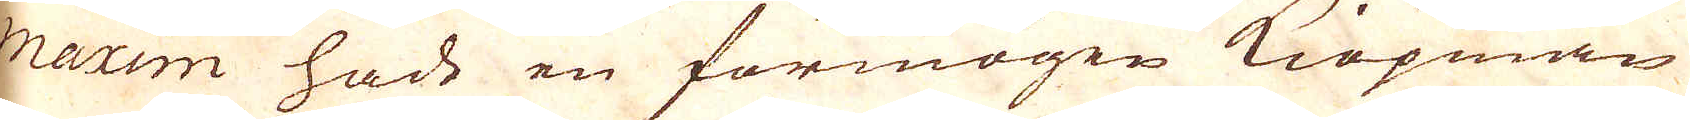maxim hade en förmögen Kiöpman
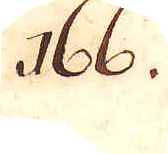166.
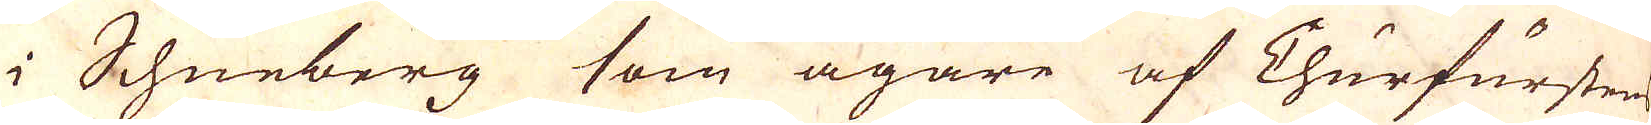i Schneberg som ägare af Churfursten
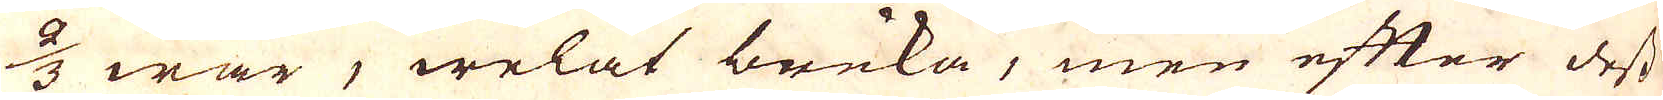2/3 war, welat bruka, men efter dess
